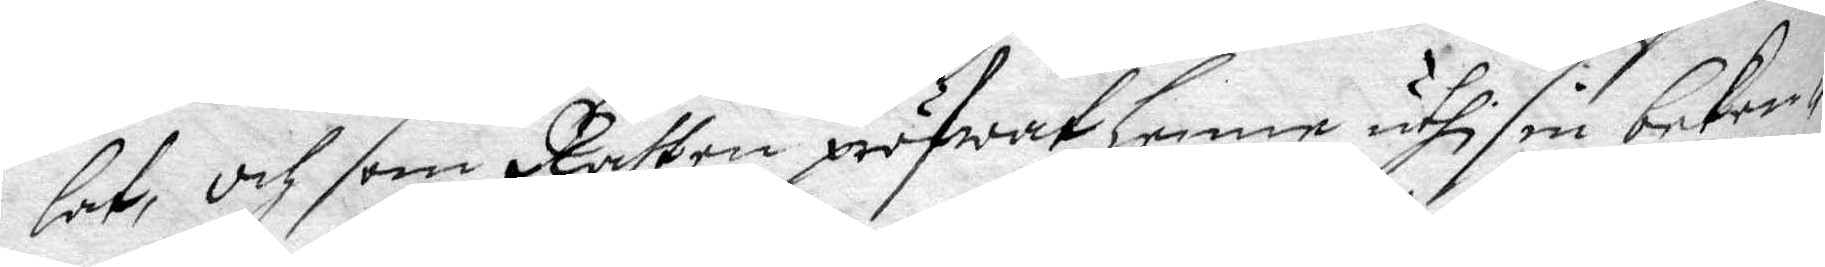lat, och som Rätten pröfwat henne uthi sin beken¬
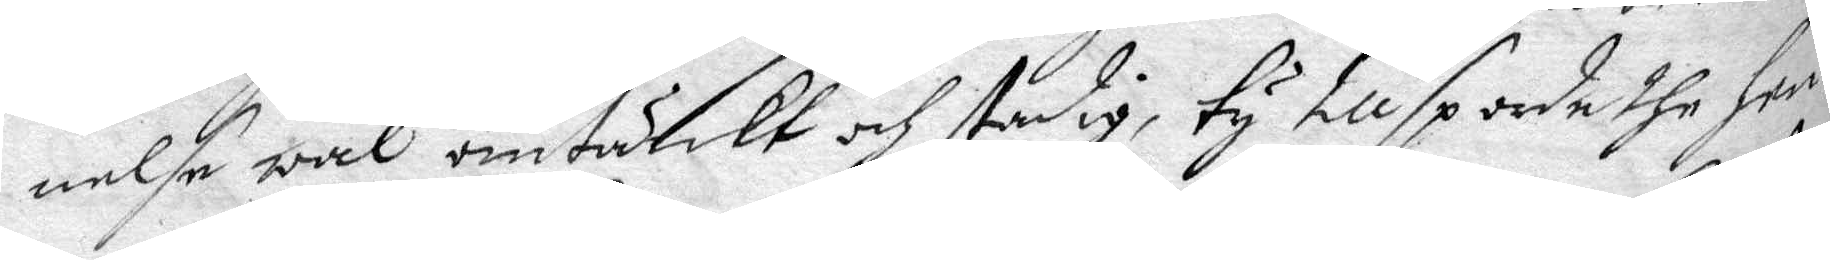nelse wäl omtänkt och stadig, ty tillsporde the hen¬
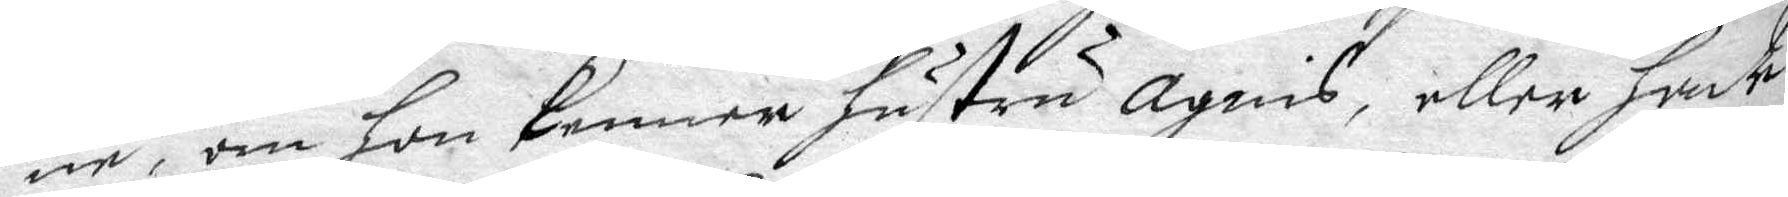ne, om hon kenner hustru Agnis, eller hade
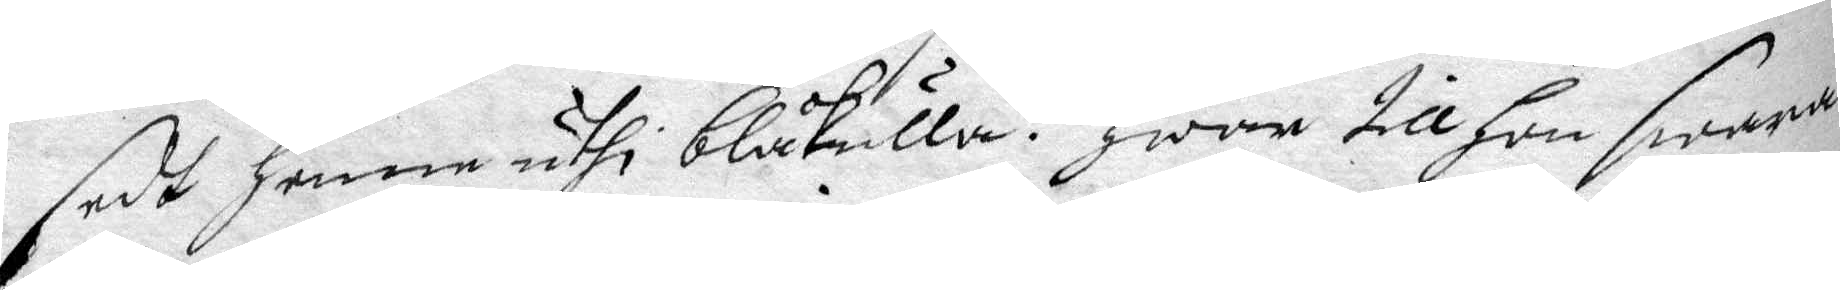sedt henne uthi Blåkula? hwar till hon swara¬
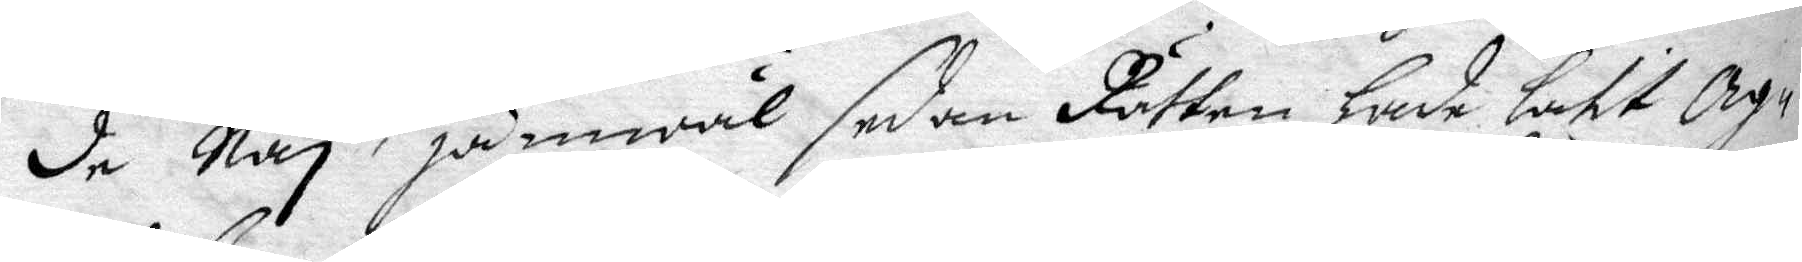de Ney, jämwäl sedan Rätten hade låtit Ag¬
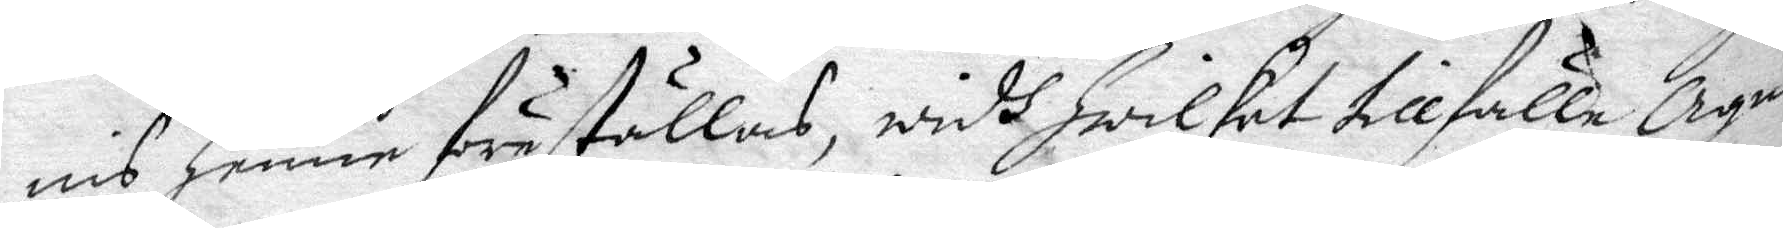nis henne föreställas, widh hwilket tillfälle Agnis
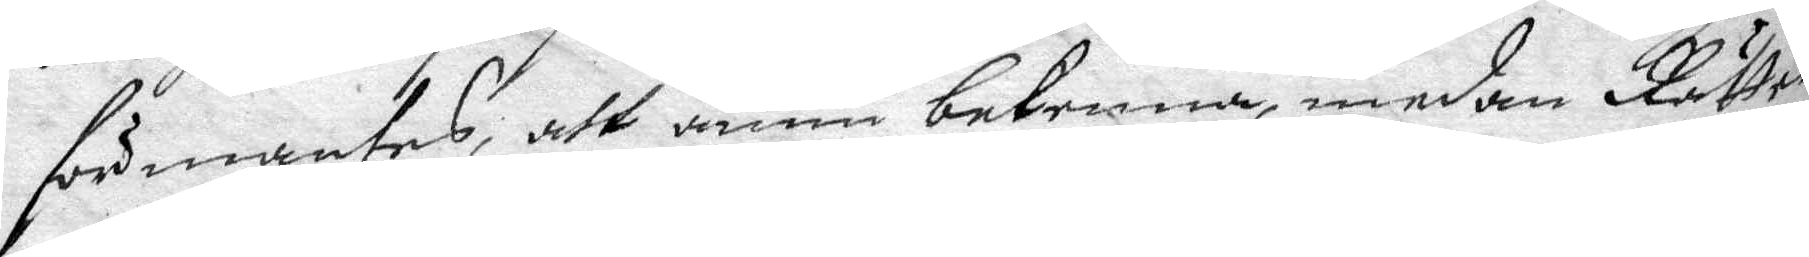förmantes, att ännu bekenna, medan Rättten
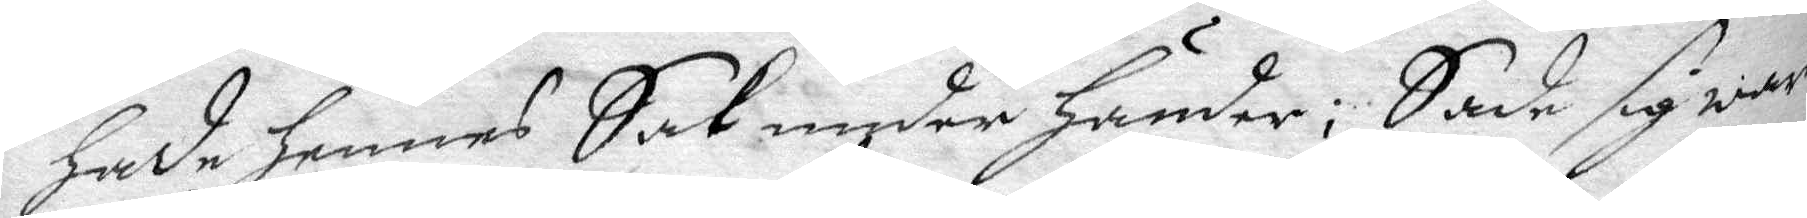hade hennes Sak under händer; Sade sig ware
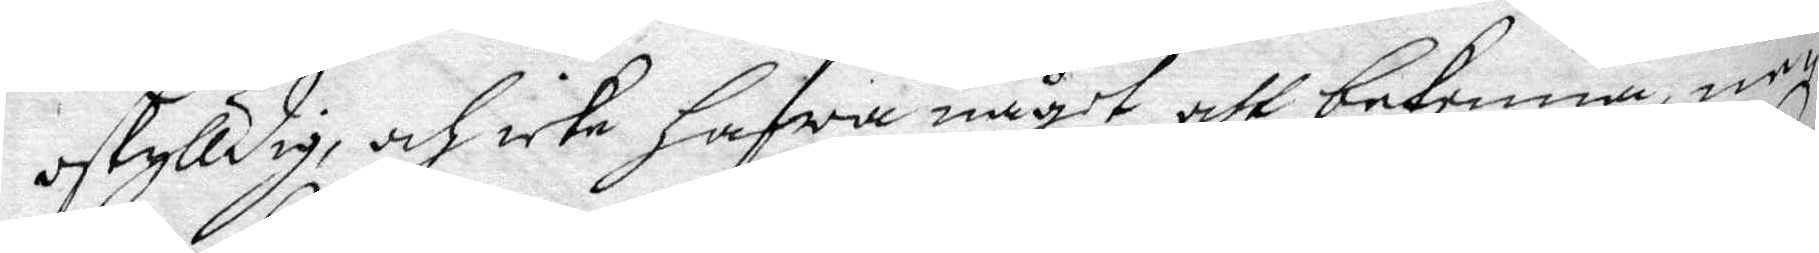oskylldig, och icke hafwa något att bekenna, ne¬
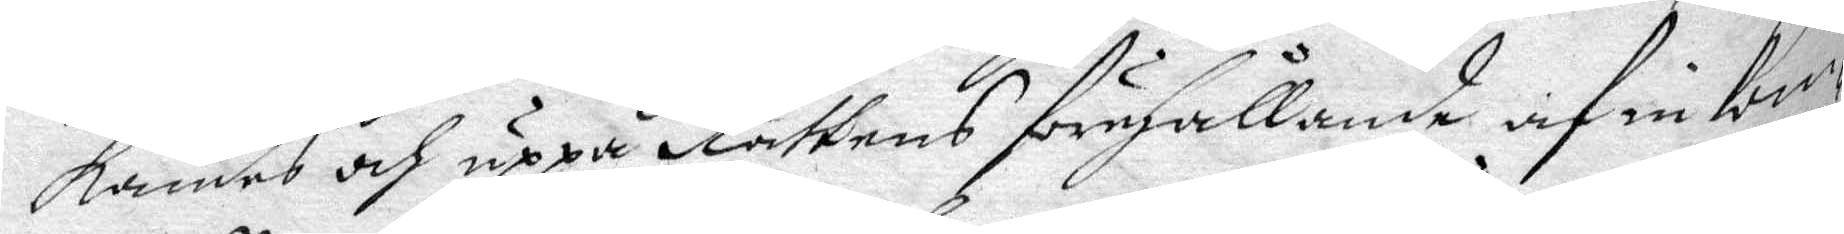kandes och uppå Rättens förehållande af inkom¬
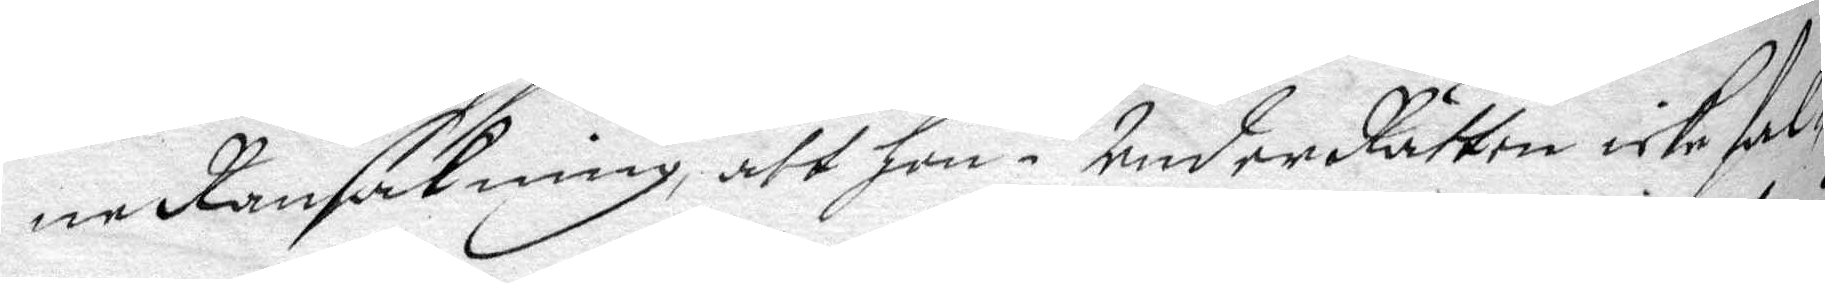ne Ransakning, att hon i UnderRätten icke fal¬
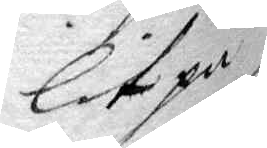lit på
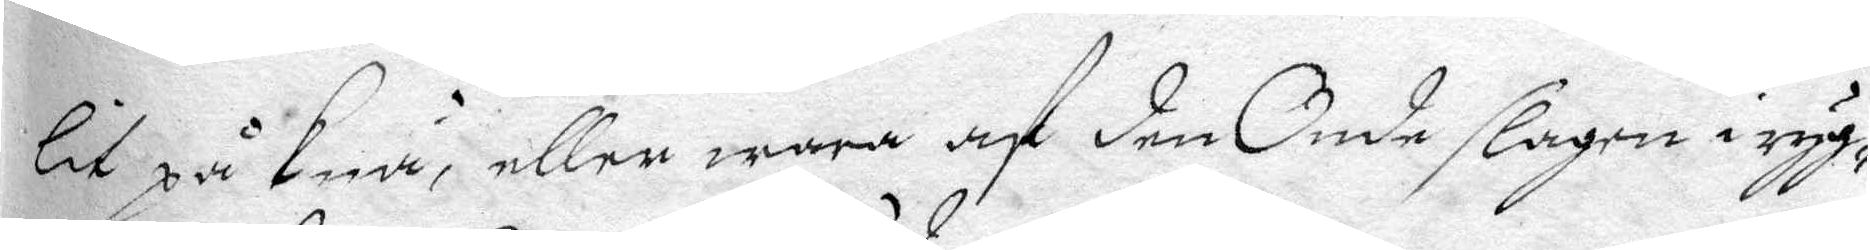lit på knä, eller wara af den Onde slagen i ryg¬
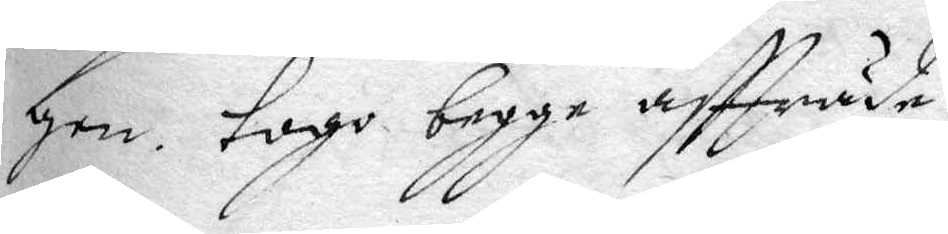gen. togo begge affträde.
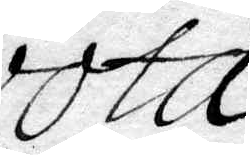vota.
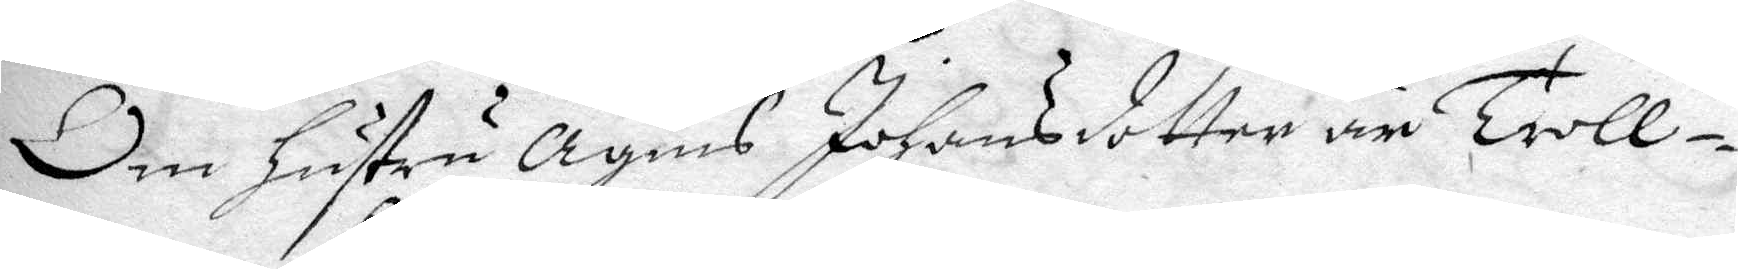Om hustru Agnis Johansdotter är Troll¬
